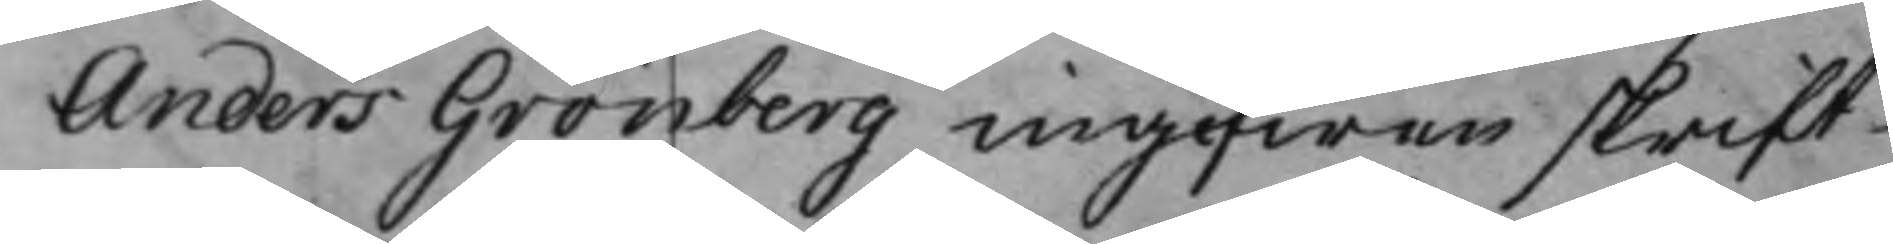Anders Grönberg ingifwen skrift
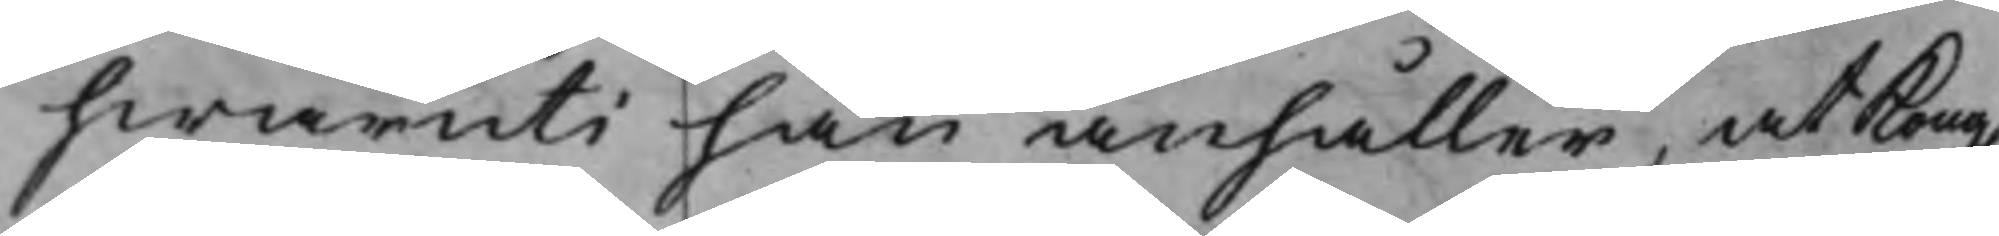hwaruti han anhåller, at Kong.
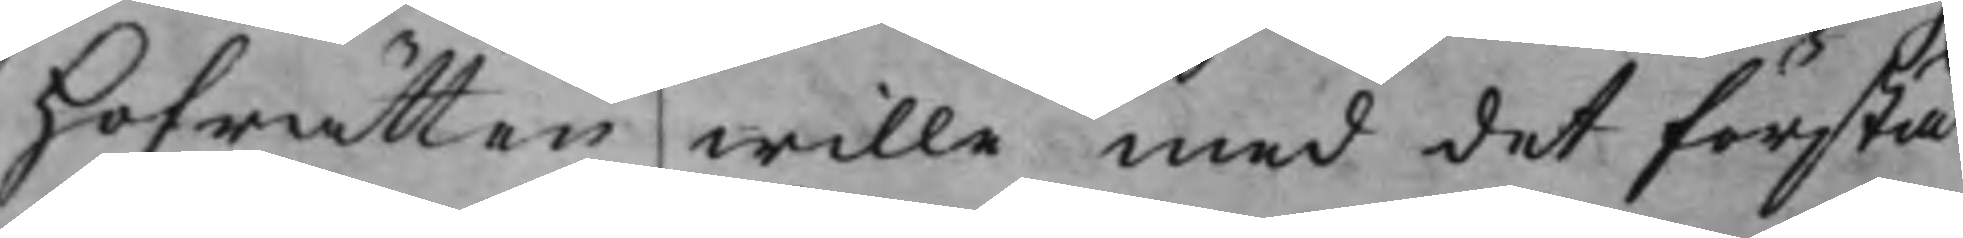Hofrätten wille med det första
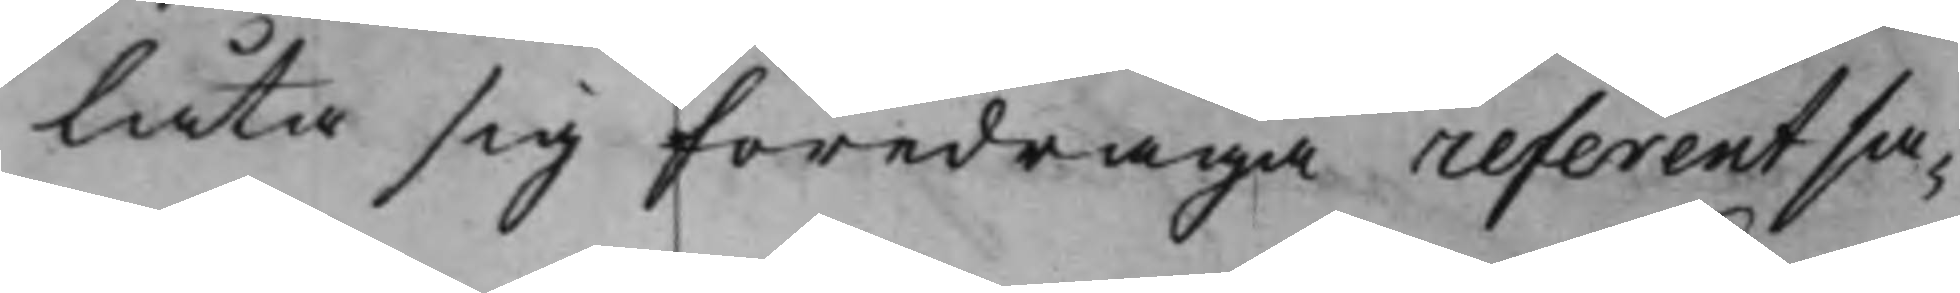låta sig föredraga referent sa¬
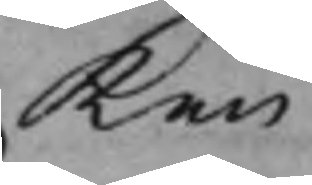ken
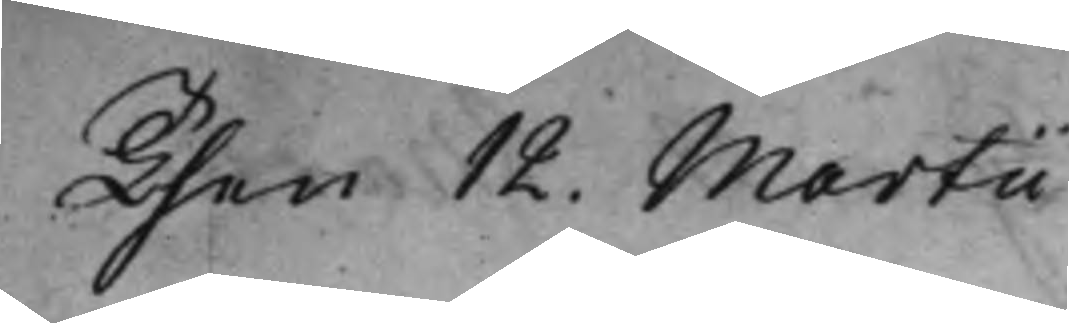Then 12. Martii
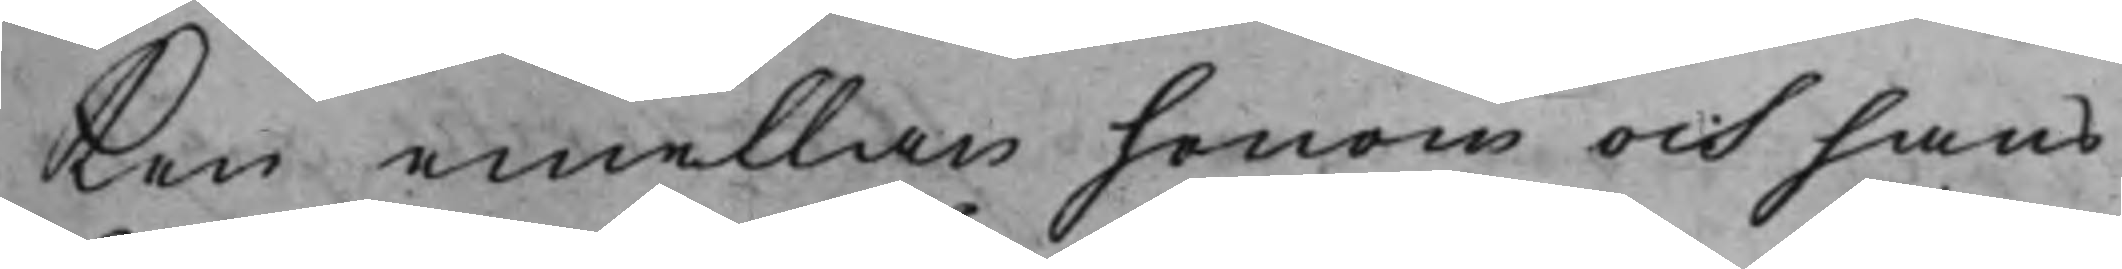Ken emellan honom och hans
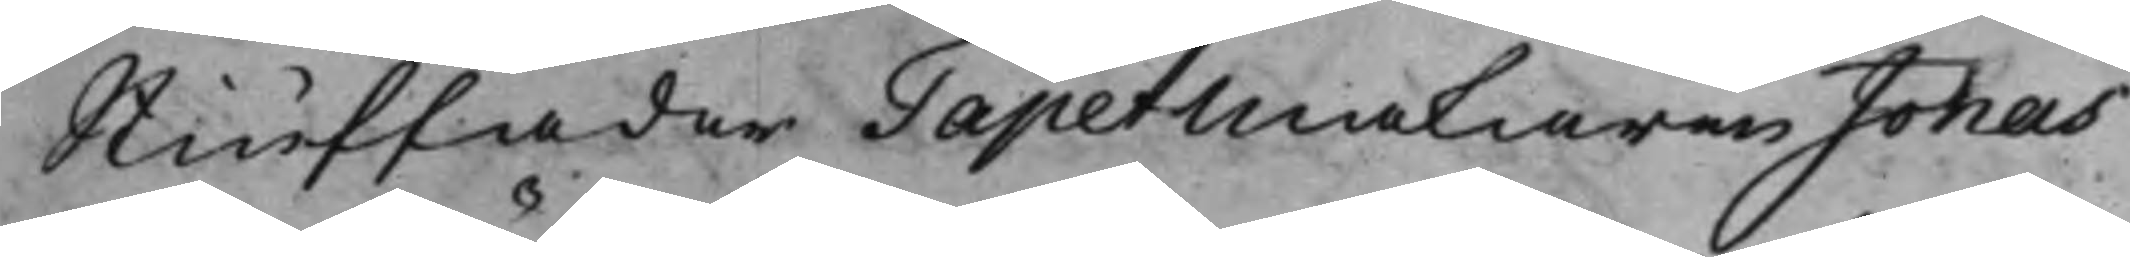Stiuffader Tapetmakaren Jonas
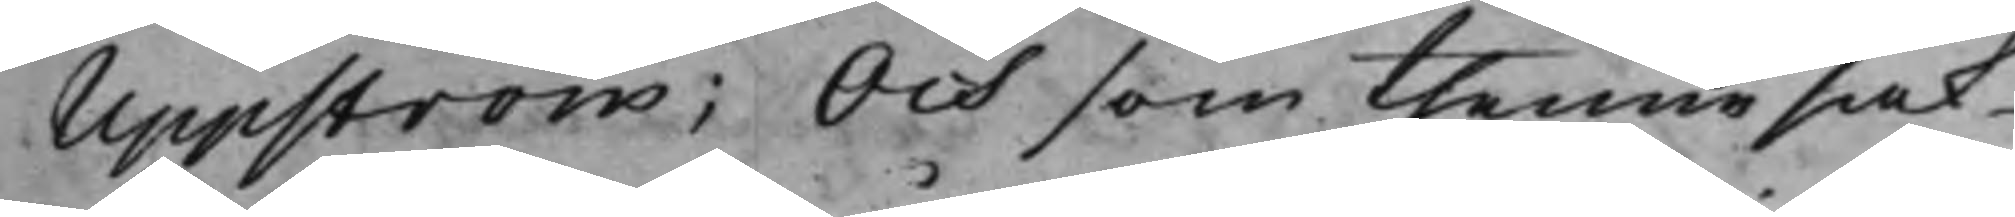Uppström; Och som thenne sak
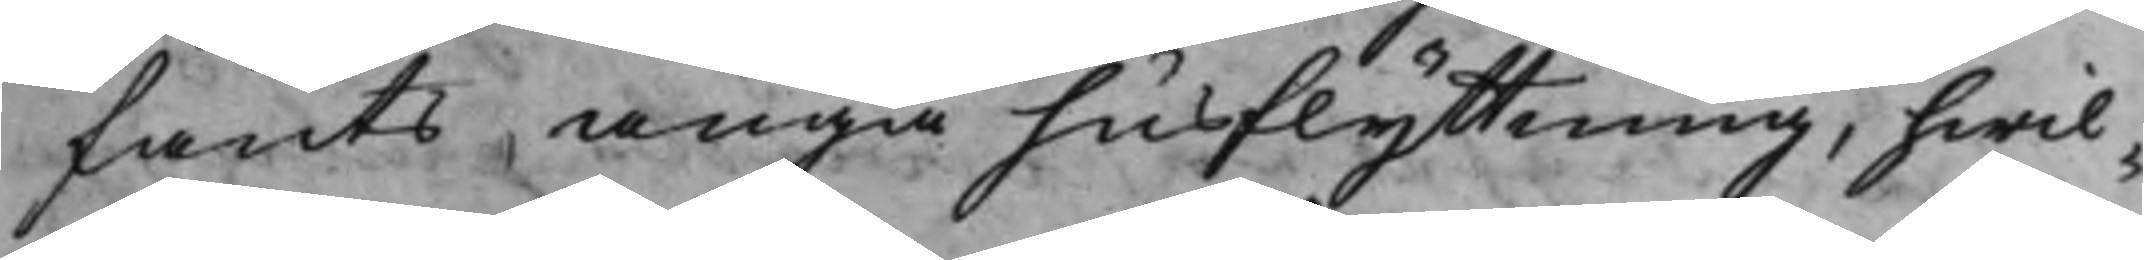fants angå husflyttning, hwil¬
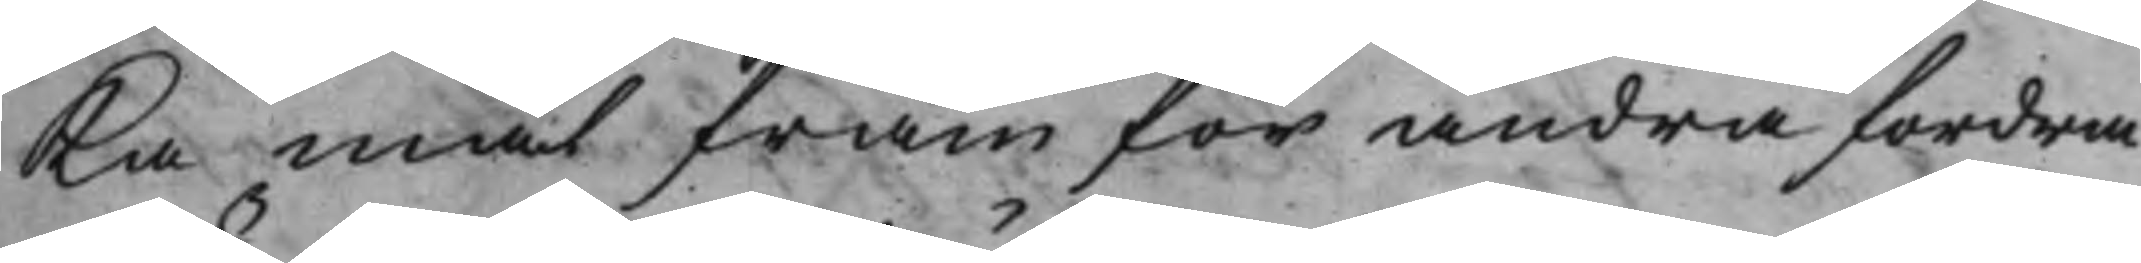Ka mål fram för andra fordra
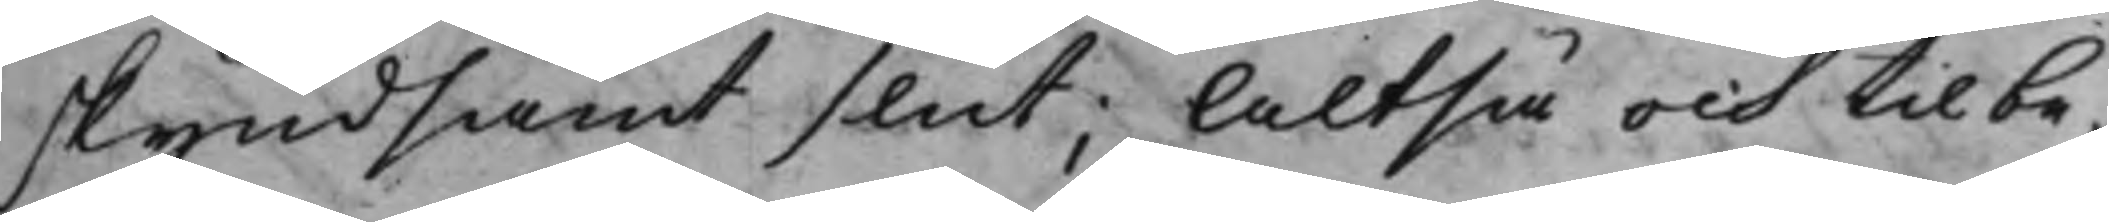skyndsamt slut; Altså och til be¬
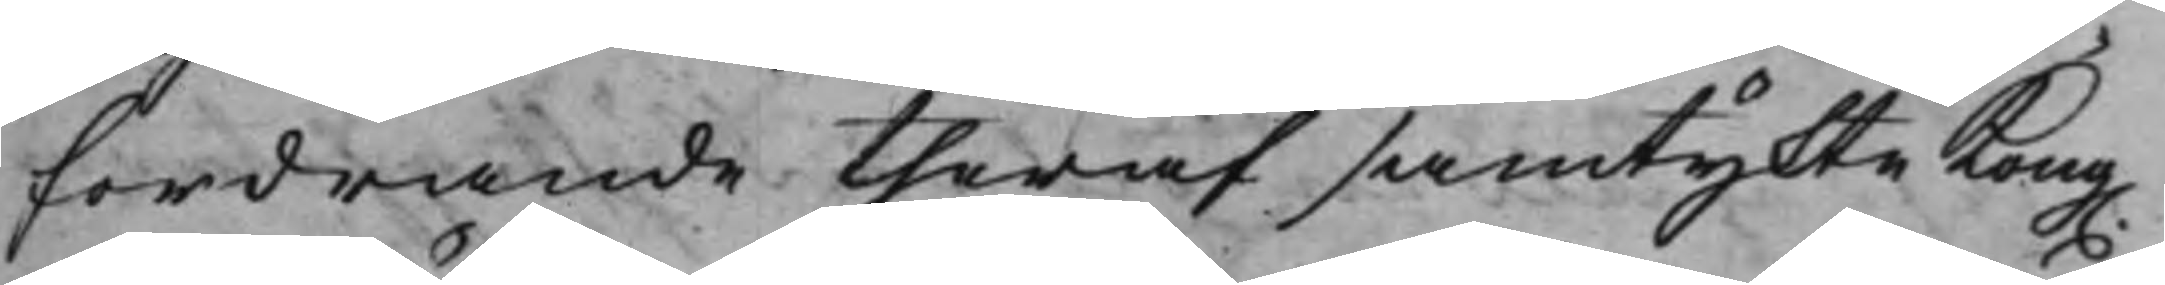fordrande theraf samtykte Kong.
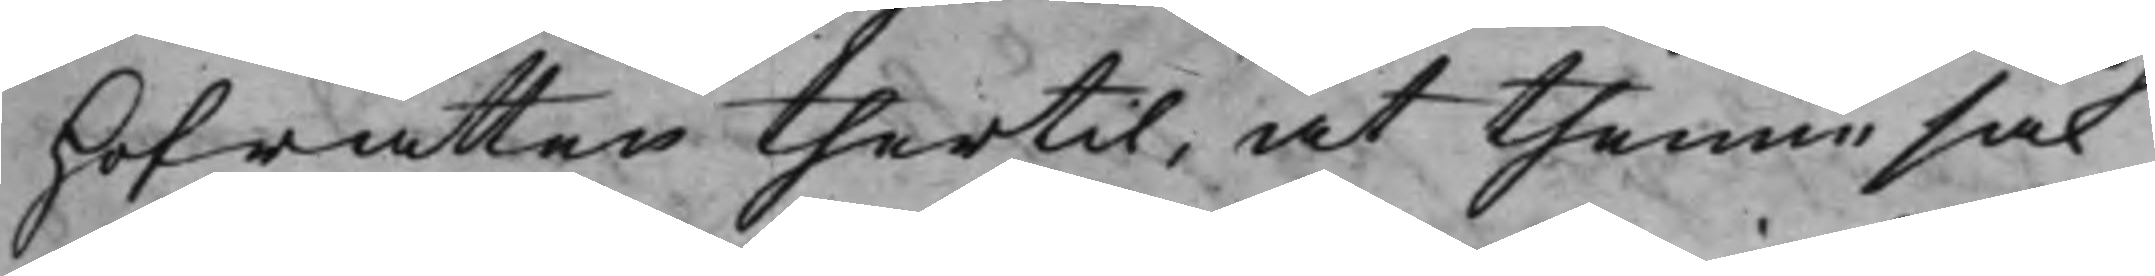Hofrätten thertil, at thenne sak
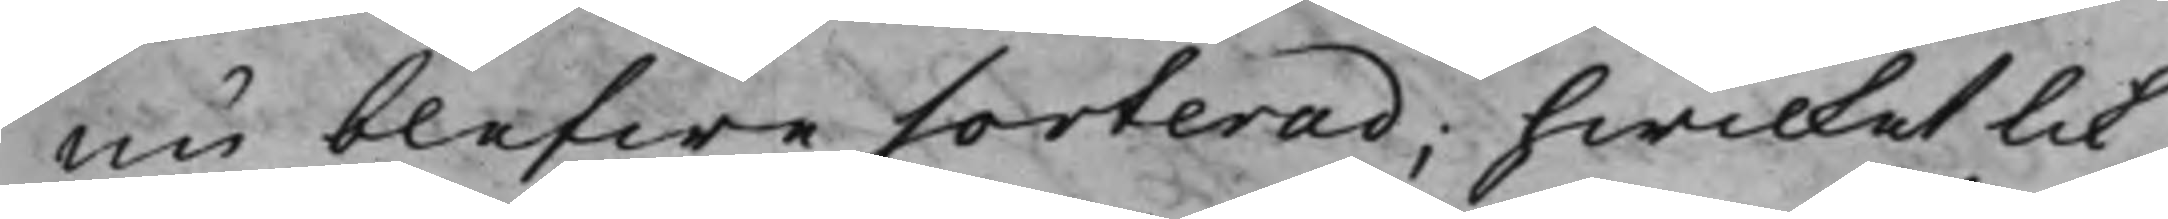nu blefwe sorterad; hwilket lik¬
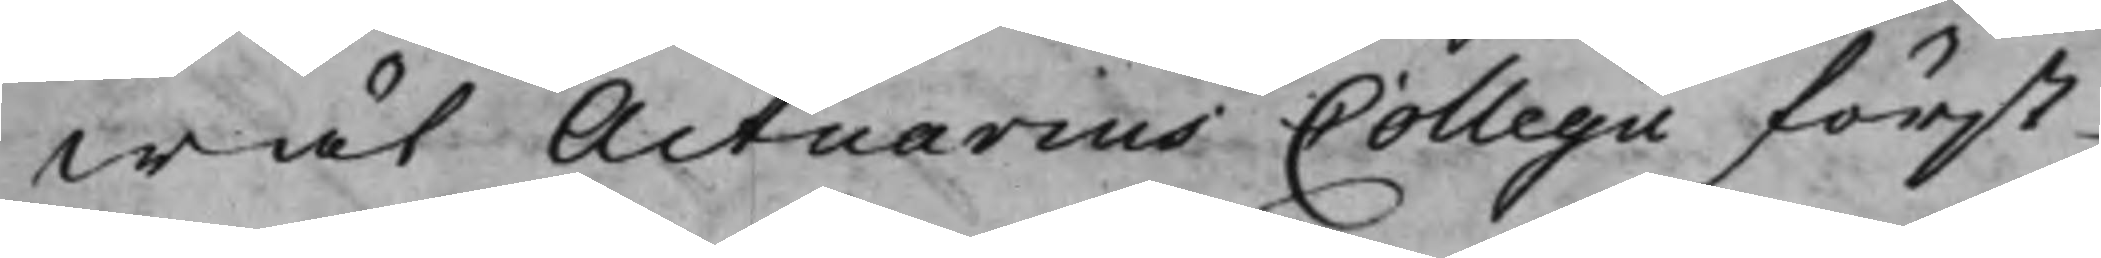wäl Actuarius Collegii först
